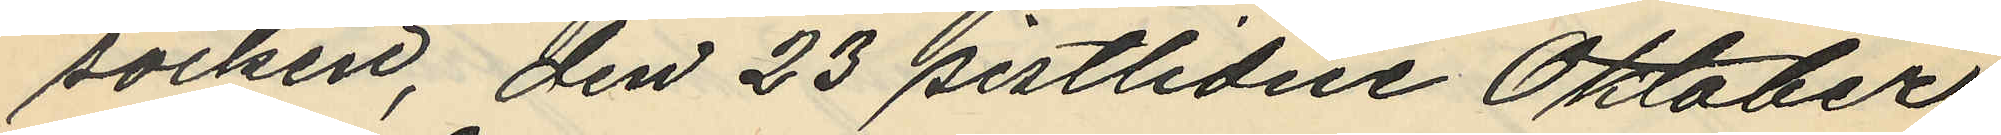socken, den 23 sistlidne Oktober
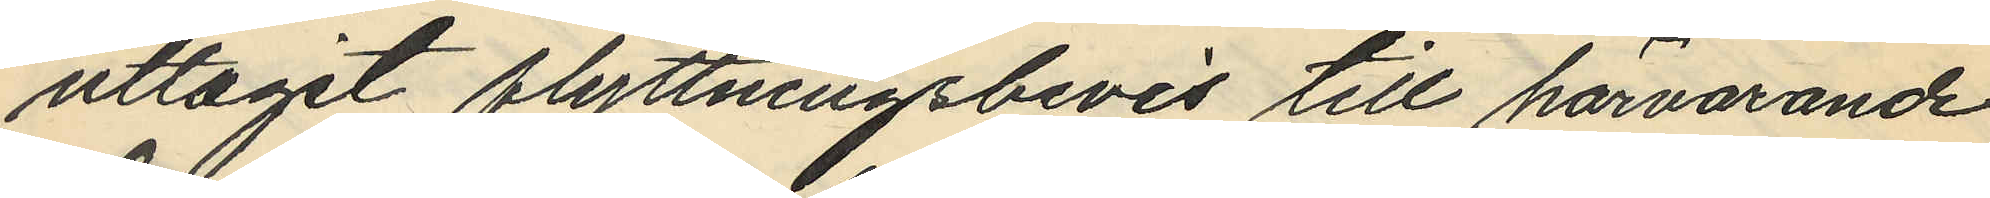uttagit flyttningsbevis till härvarande
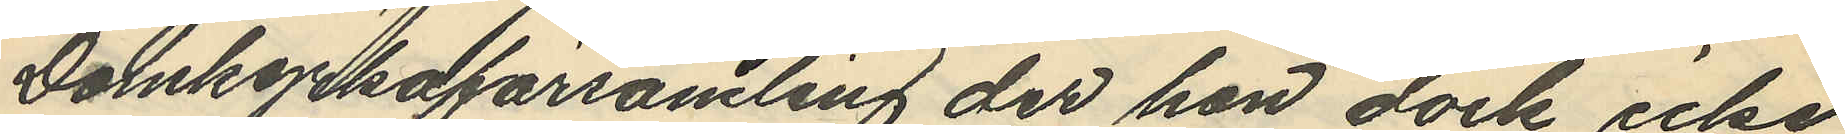Domkyrkoförsamling der hon dock icke
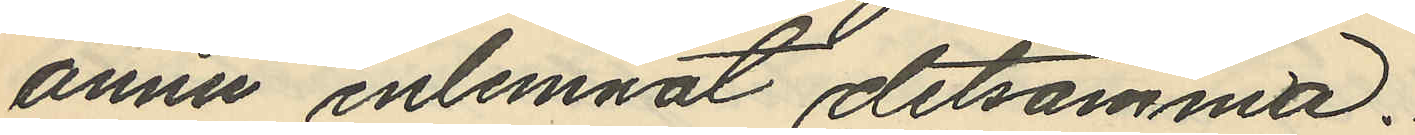ännu inlemnat detsamma.
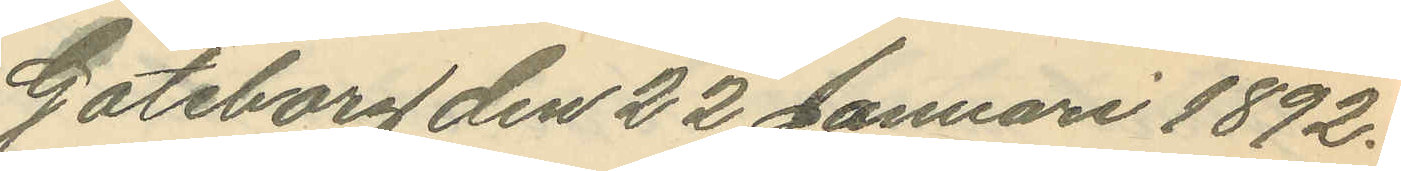Göteborg den 22 Januari 1892.
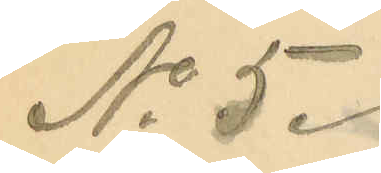No 5.
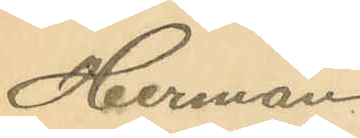Herman
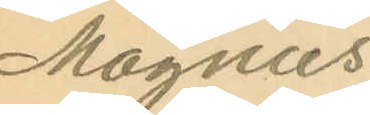Magnus
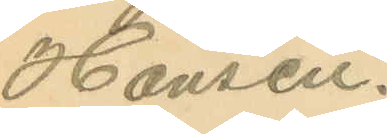Hansen.
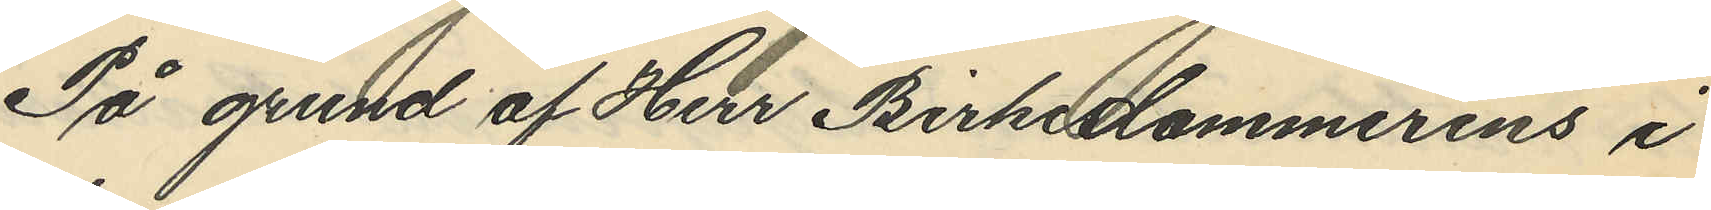På grund af Herr Birkesdommerens i
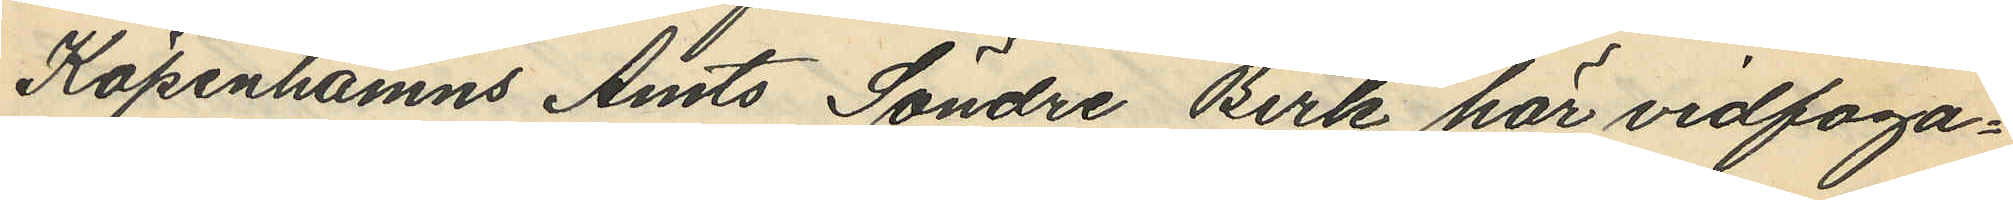Köpenhamns Amts Söndre Birk här vidfoga¬
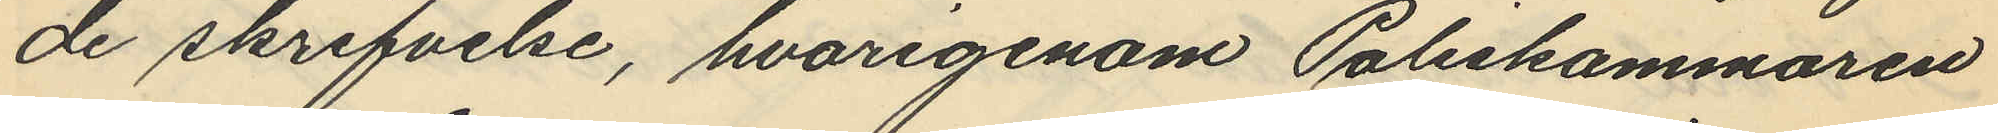de skrifvelse, hvarigenom Poliskammaren
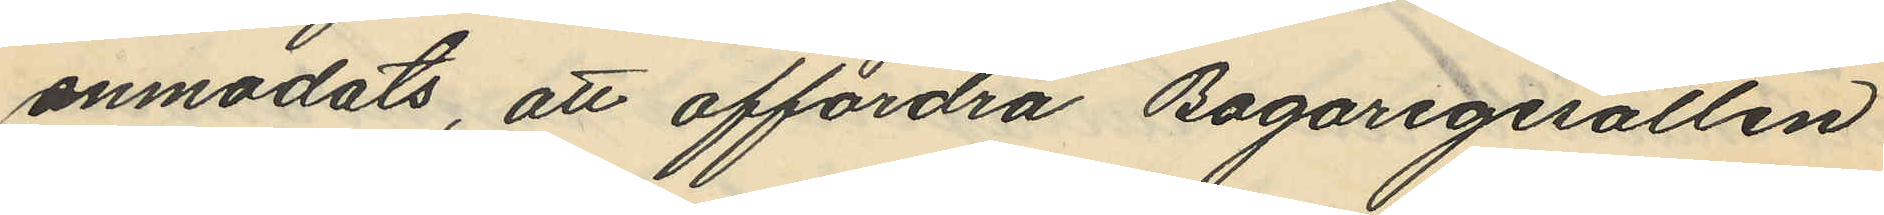anmodats, att affordra Bagaregesällen
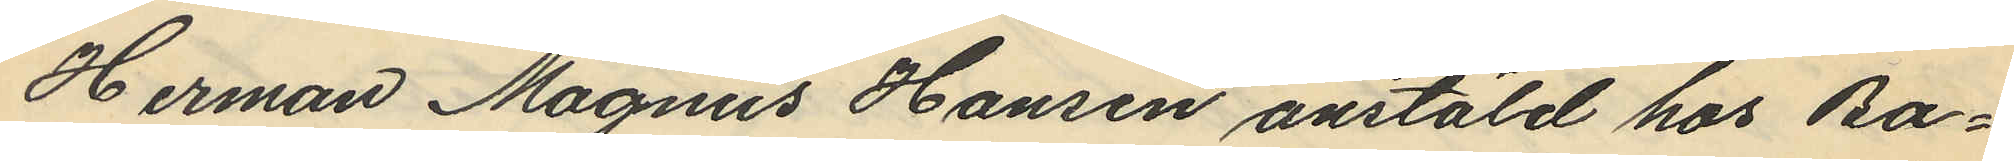Herman Magnus Hansen anstäld hos Ba¬
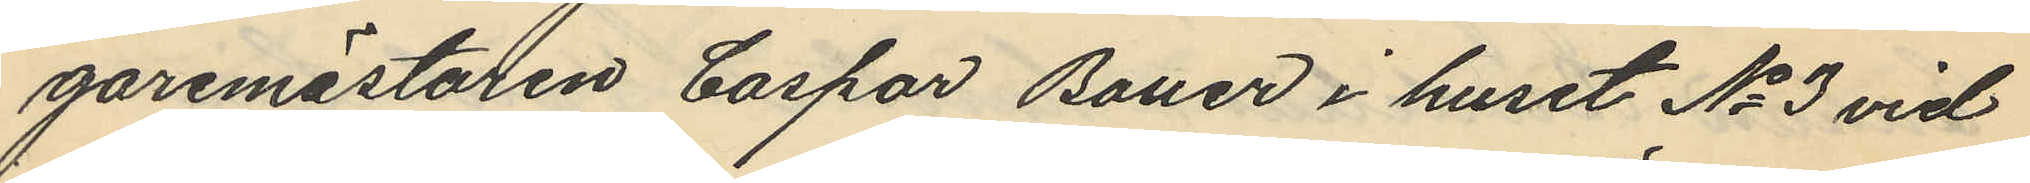garemästaren Caspar Bauer i huset No 3 vid
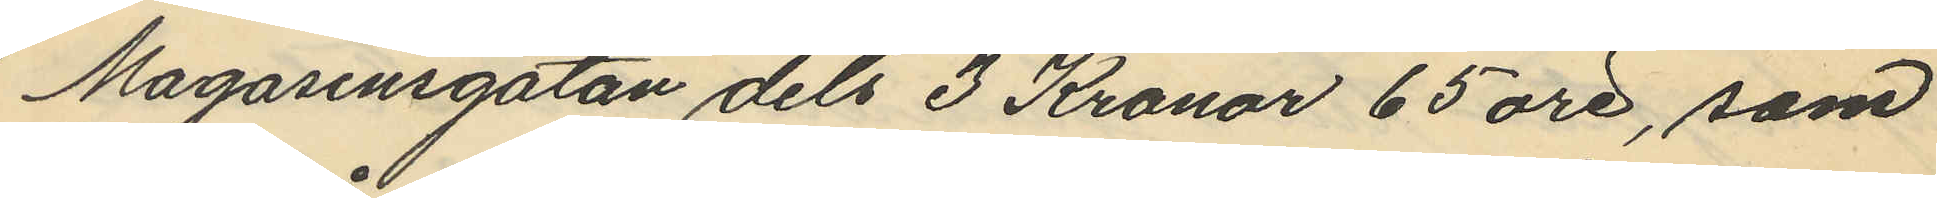Magasinsgatan dels 3 Kronor 65 öre, som
